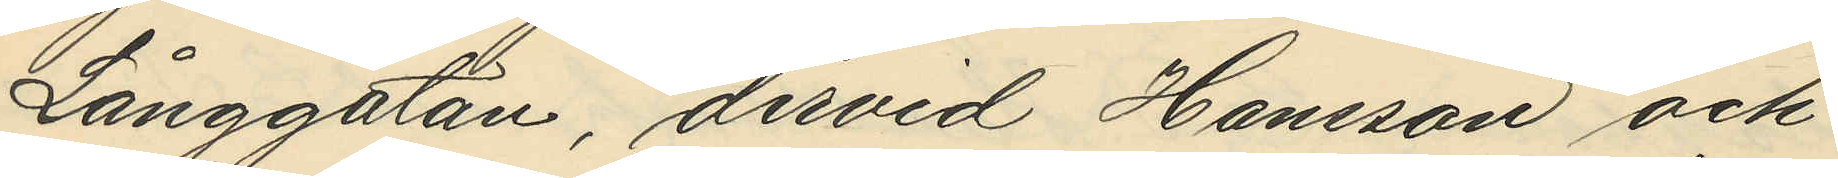Långgatan, dervid Hansson och
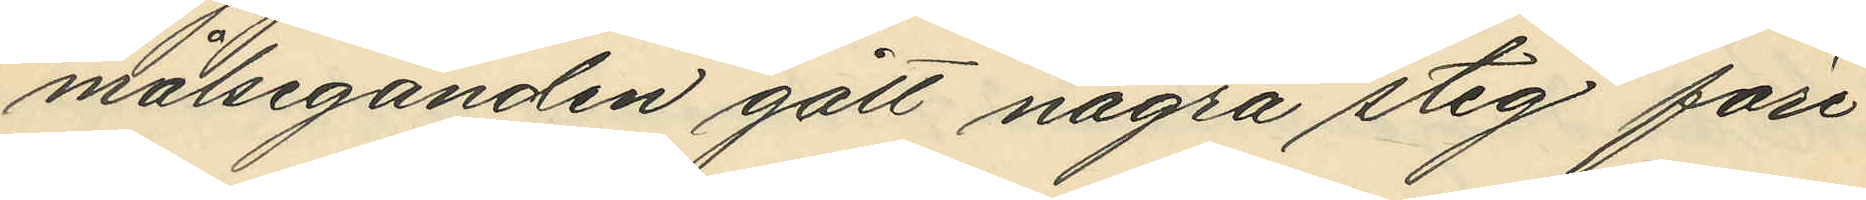målseganden gått några steg före
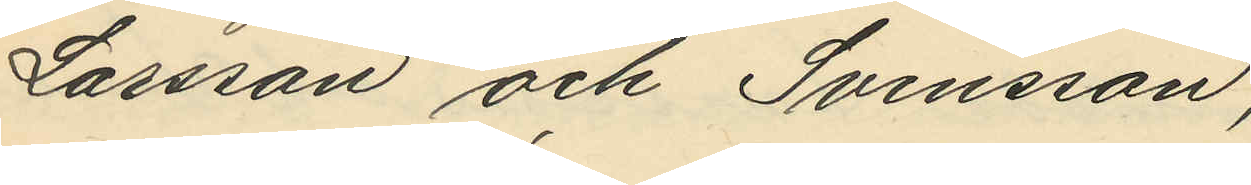Larsson och Svensson;
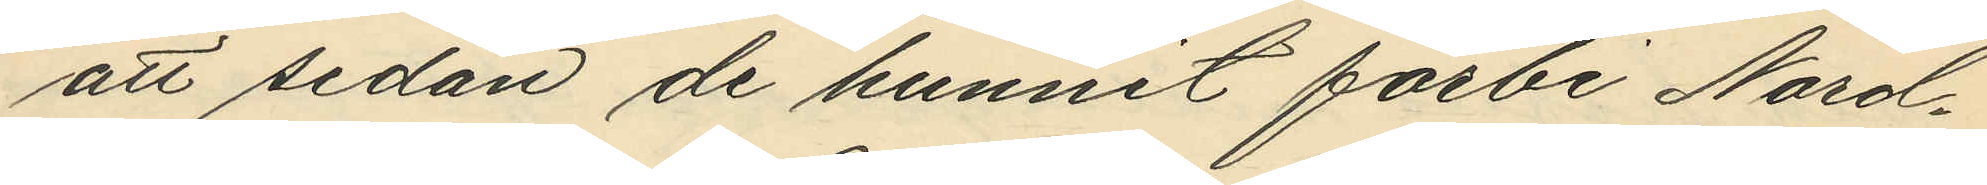att sedan de hunnit förbi Nord¬
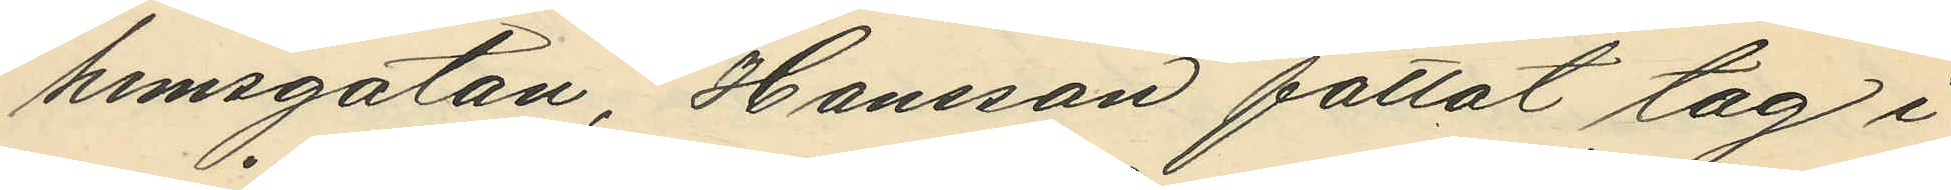hemsgatan, Hansson fattat tag i
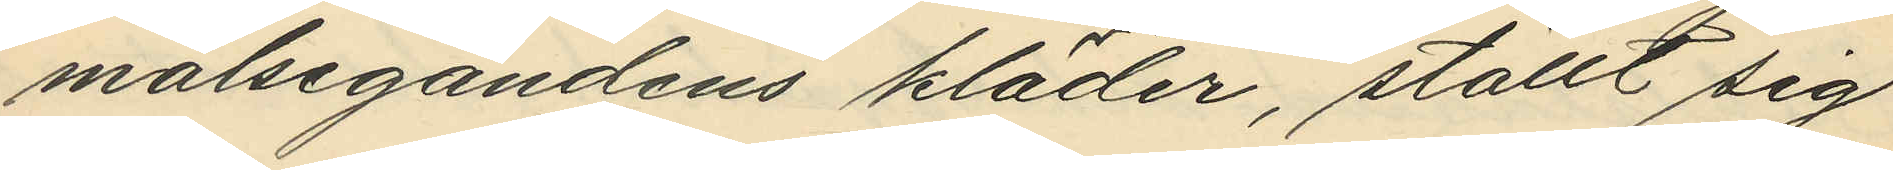målsegandens kläder, ställt sig
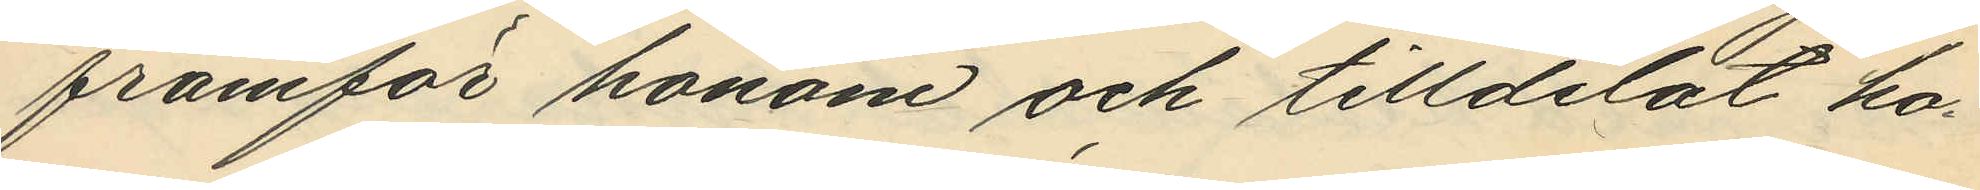framför honom och tilldelat ho¬
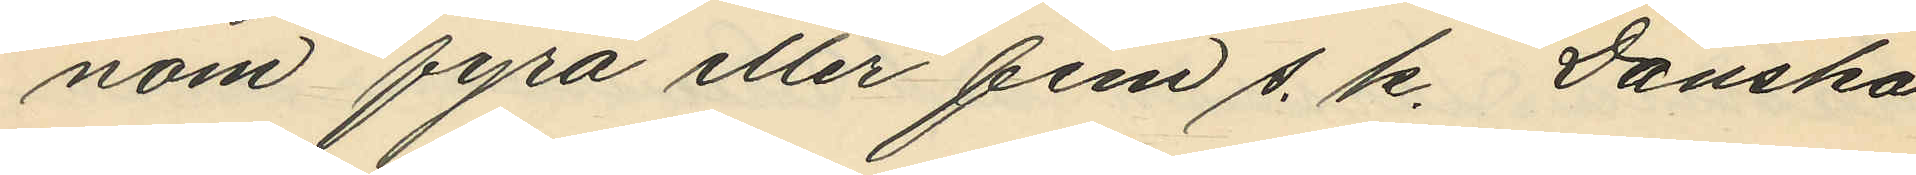nom fyra eller fem s. k. Danska
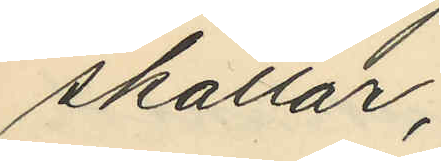skallar;
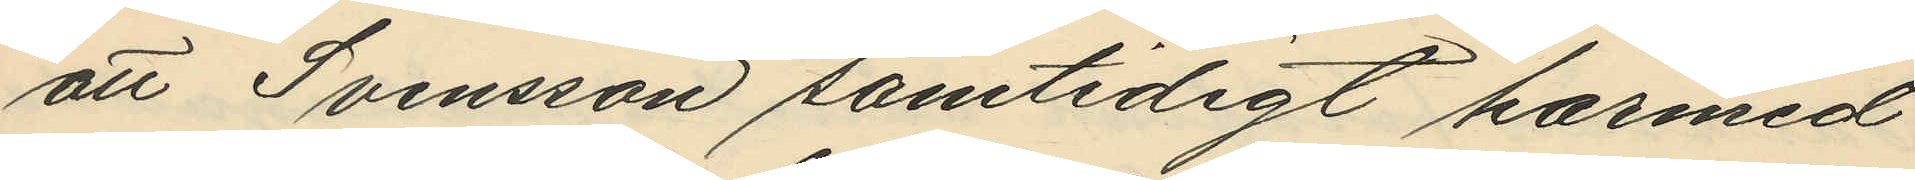att Svensson samtidigt härmed
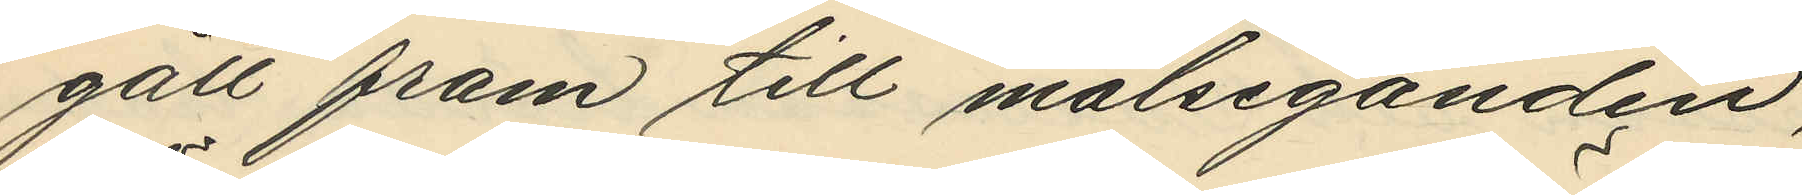gått fram till målseganden,
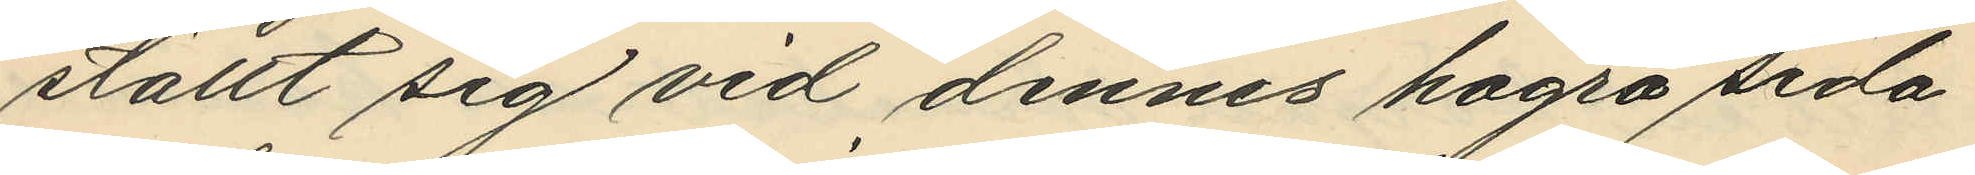ställt sig vid dennes högra sida
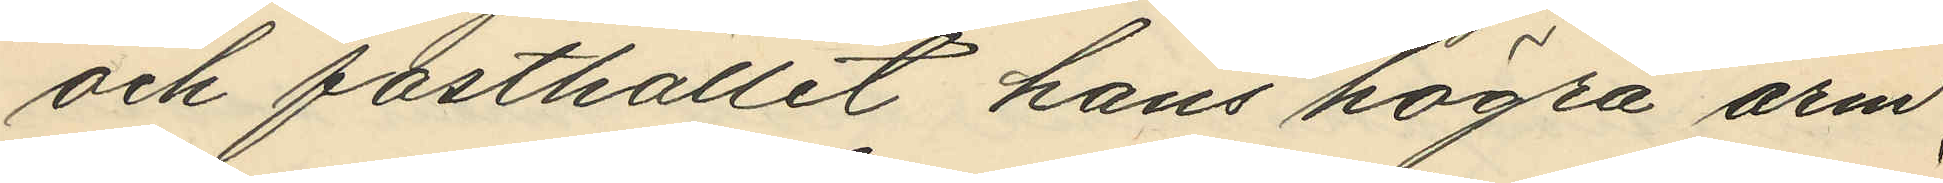och fasthållit hans högra arm
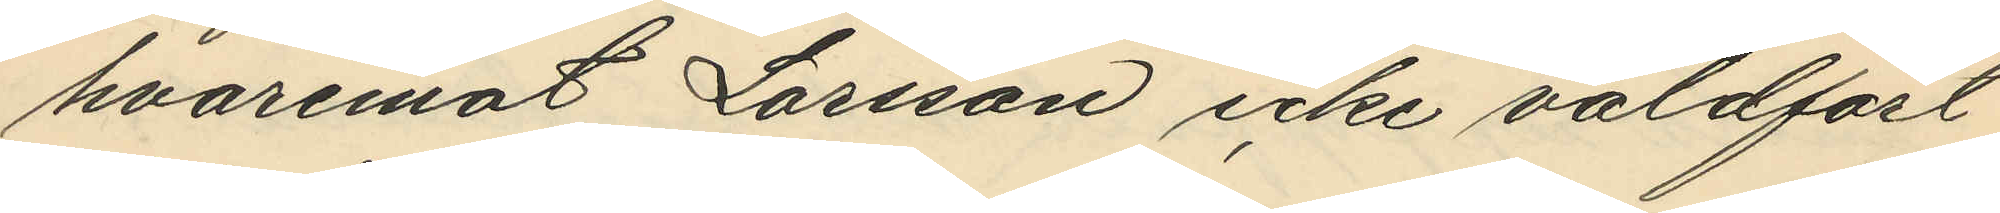hvaremot Larsson icke våldfört
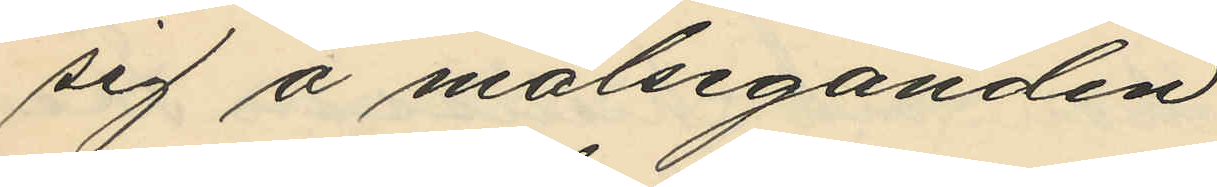sig å målseganden
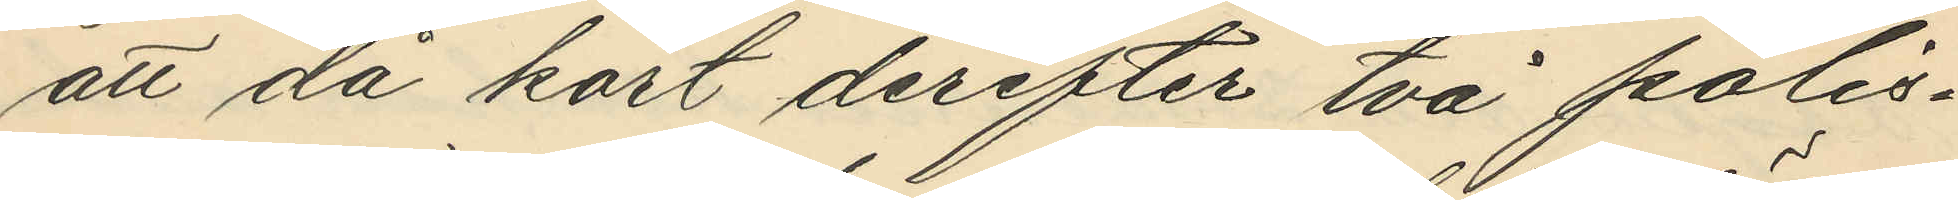att då kort derefter två polis¬
